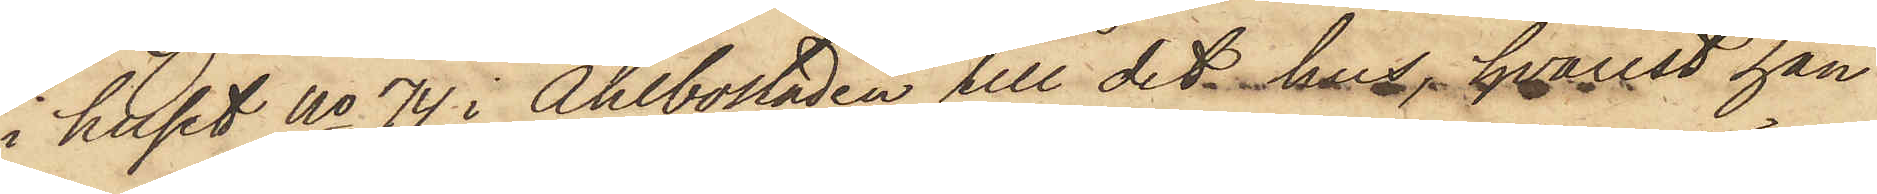i huset No 74 i Ahlbostaden till det hus, hvarest han
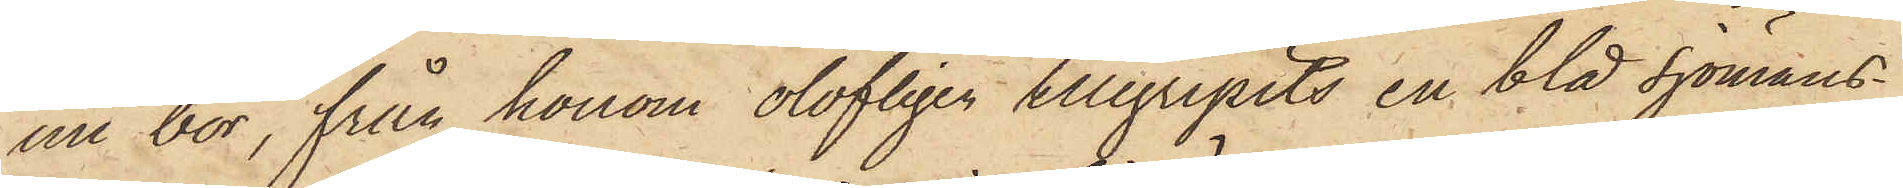nu bor, från honom olofligen tillgripits en blå sjömans¬
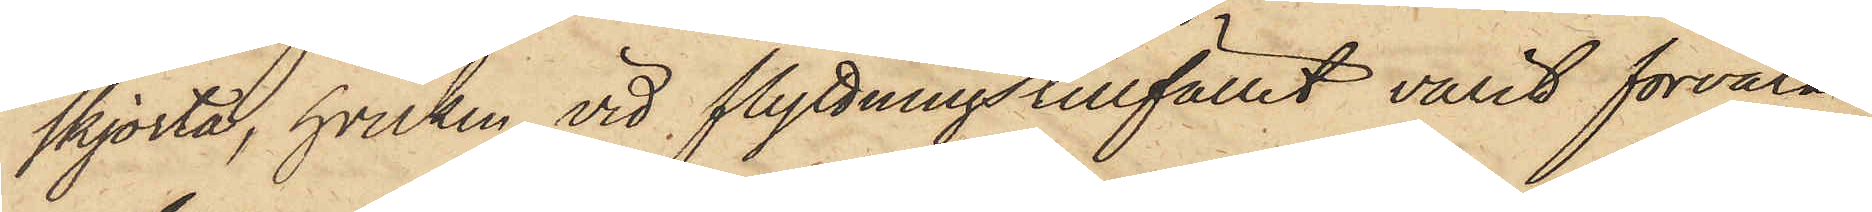skjorta, hvilken vid flyttningstillfället varit förvarad
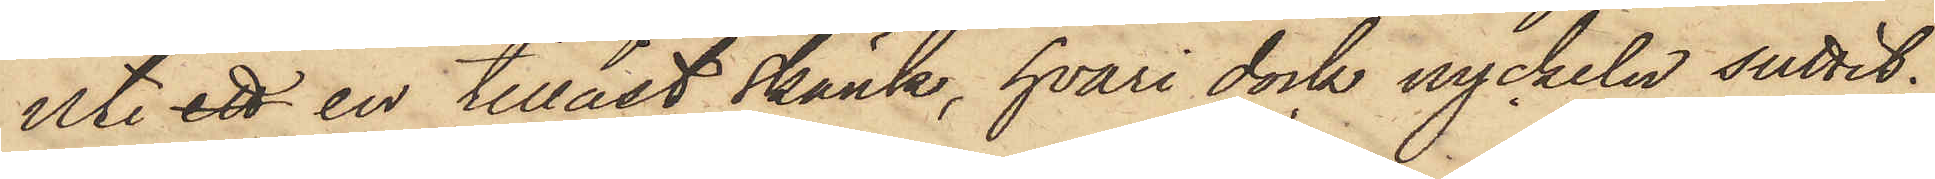uti ett en tillåst skänk, hvari dock nyckeln suttit;
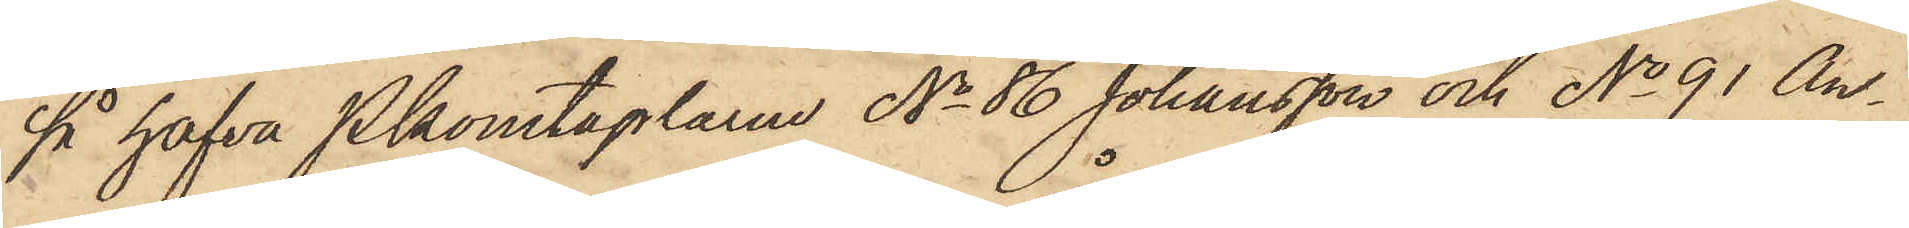så hafva Pkonstaplarne No 86 Johansson och No 91 An¬
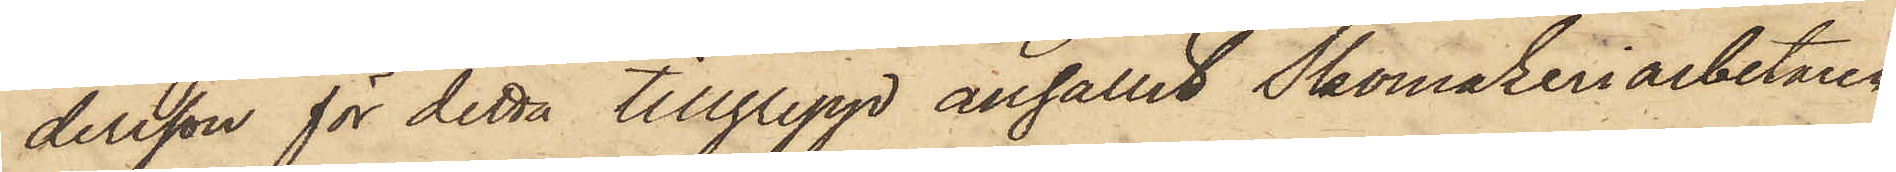dersson för detta tillgrepp anhållit Skomakeriarbetaren
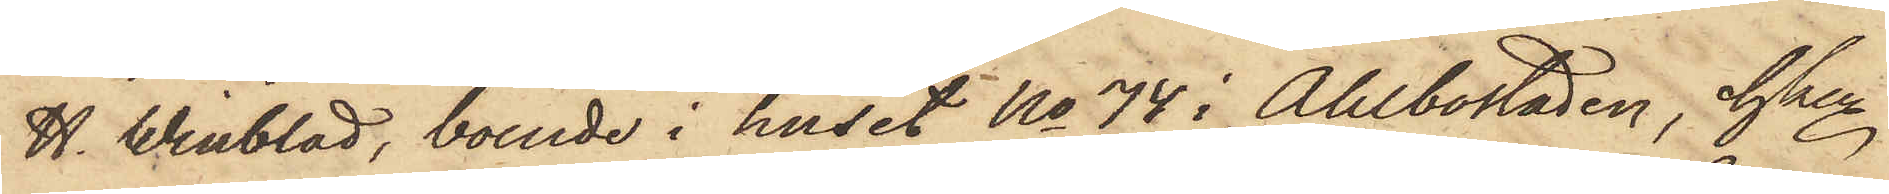H. Winblad, boende i huset No 74 i Ahlbostaden, hken
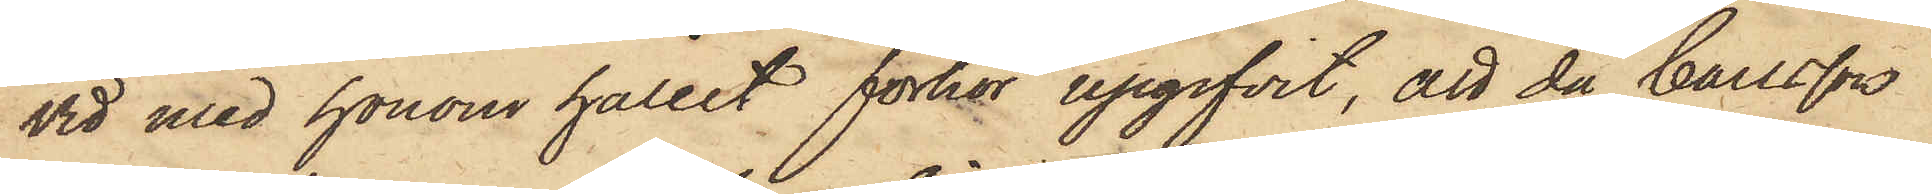vid med honom hållet förhör upgifvit, att då Carlsson
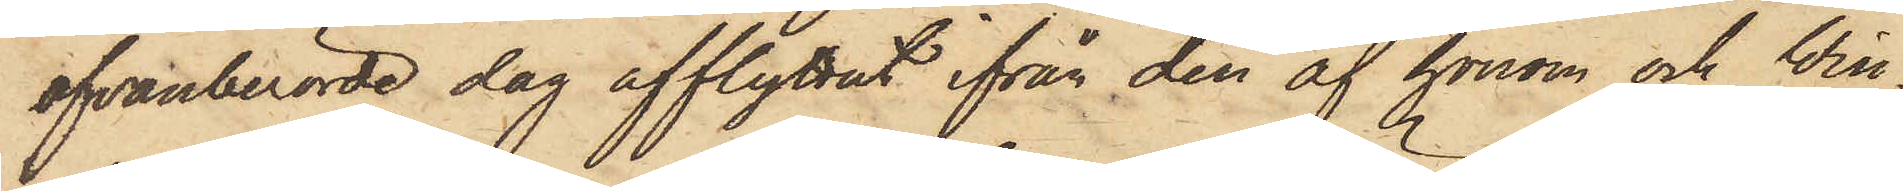ofvanberörde dag afflyttat ifrån den af honom och Win¬
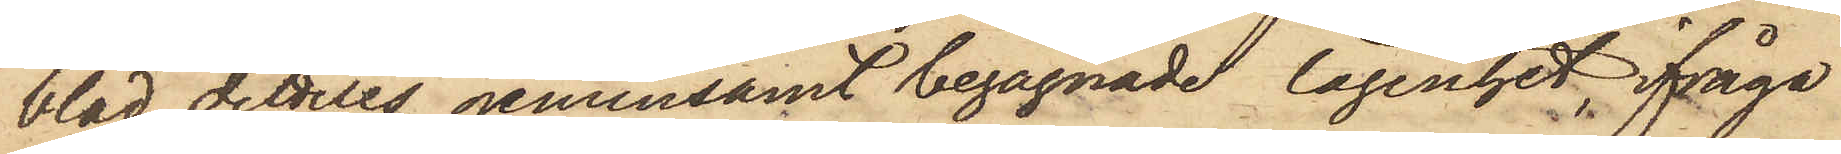blad dittills gemensamt begagnade lägenhet, ifråga¬
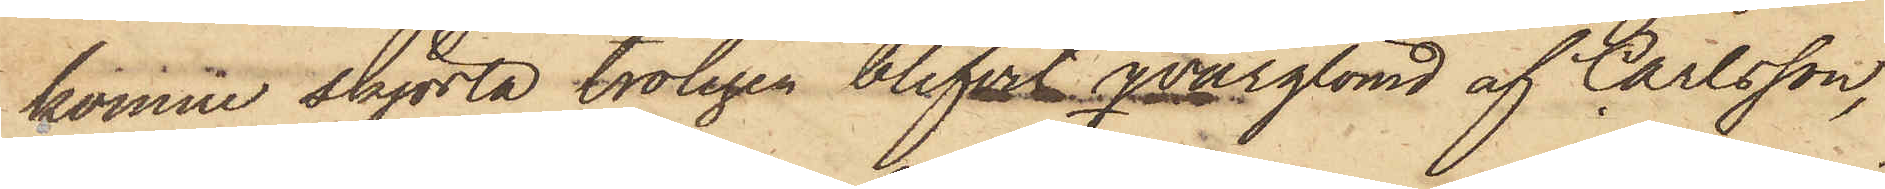komne skjorta troligen blifvit qvarglömd af Carlsson,
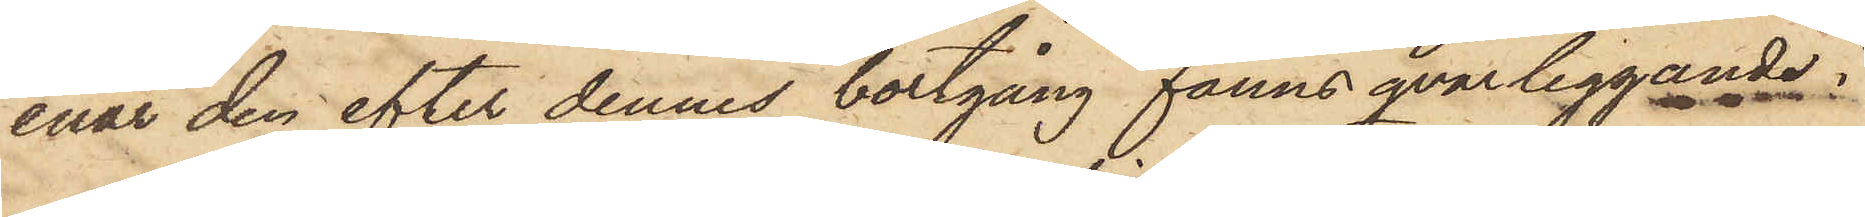enär den efter dennes bortgång fanns qvarliggande i
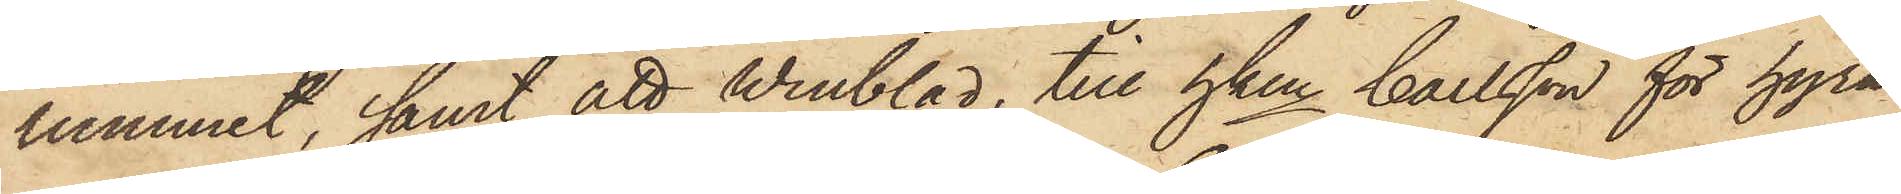rummet, samt att Winblad, till hken Carlsson för hyra
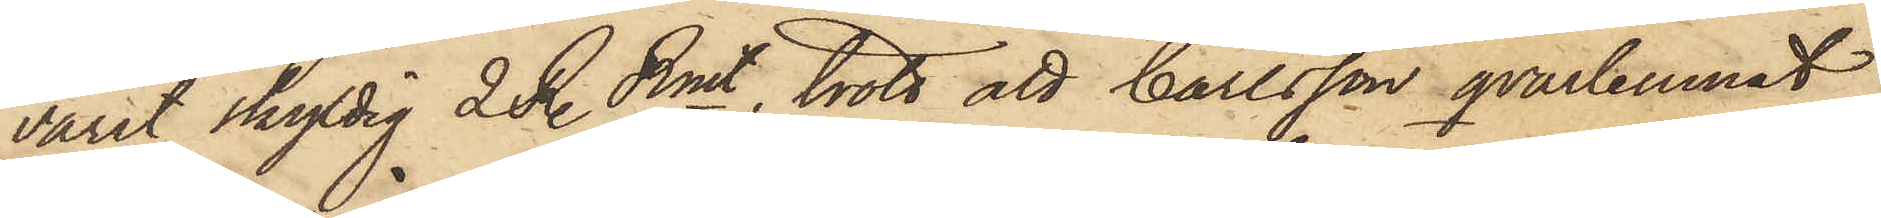varit skyldig 2 R. Rmt, trott att Carlsson qvarlemnat
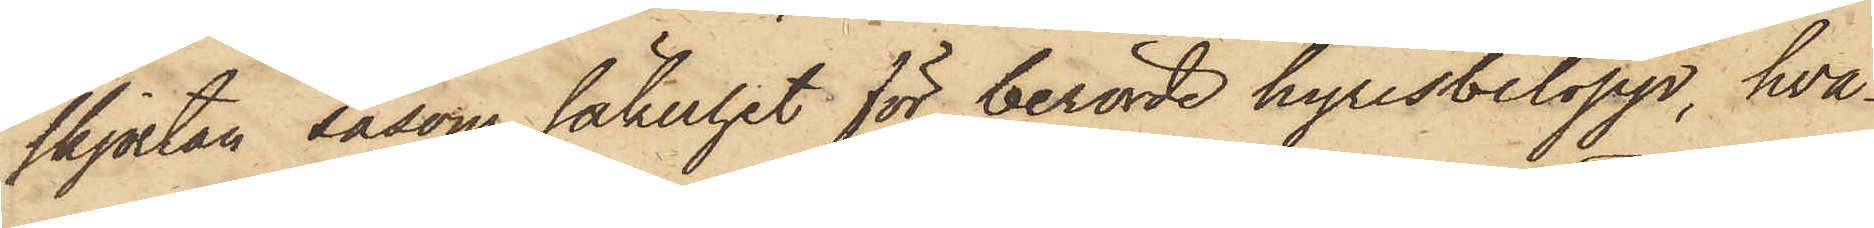skjortan såsom säkerhet för berörde hyresbelopp, hva¬
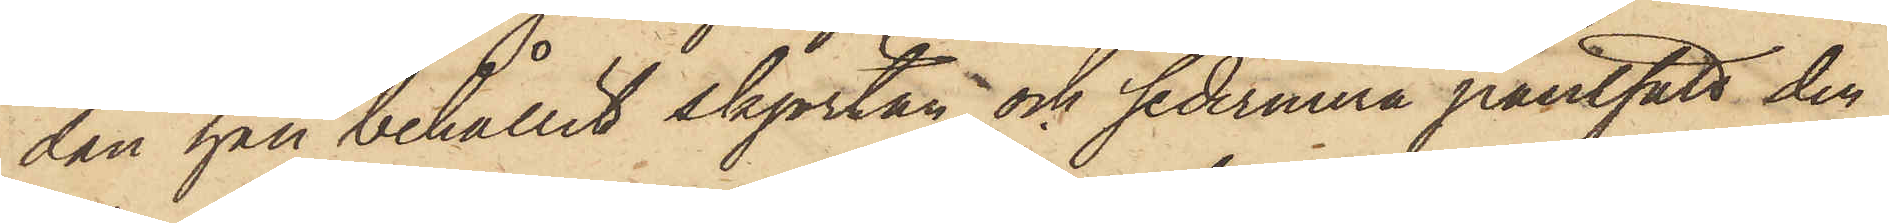dan han behållit skjortan och sedermera pantsatt den
